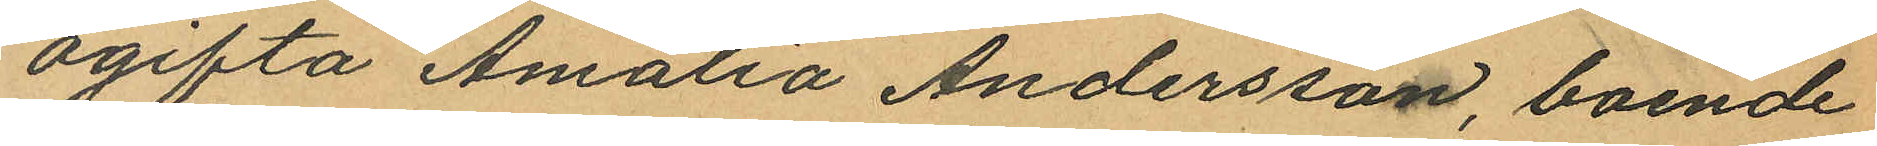ogifta Amalia Andersson, boende
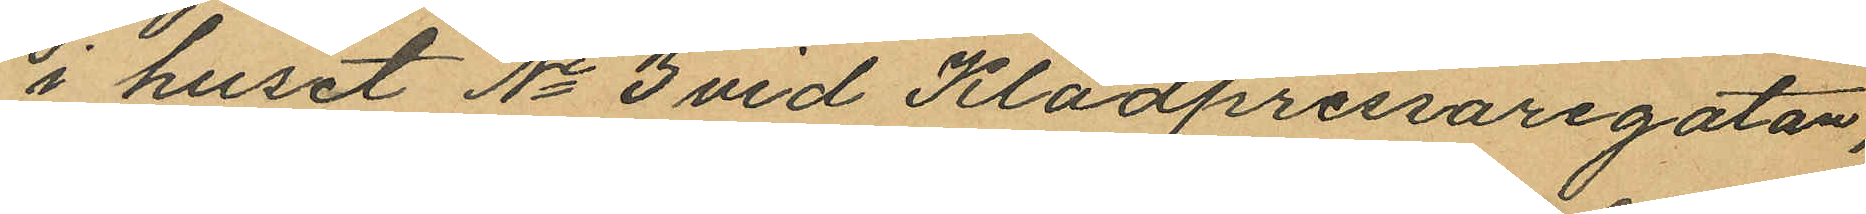i huset No 3 vid Kladpressaregatan,
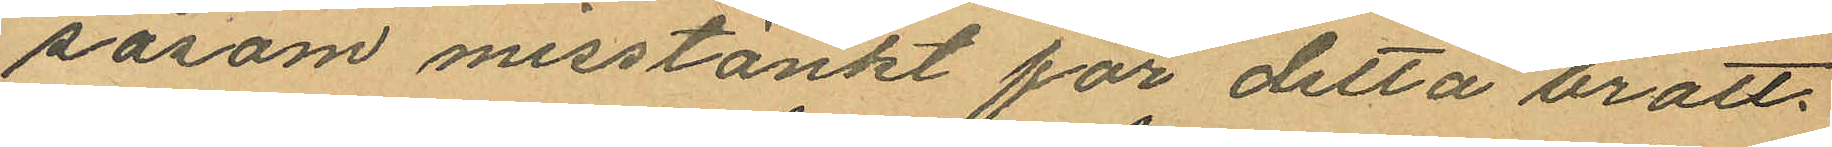såsom misstänkt för detta brott.
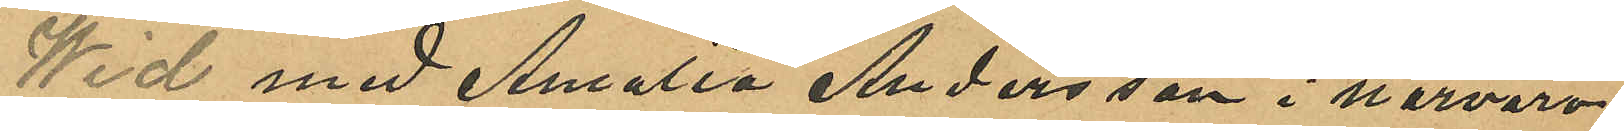Wid med Amalia Andersson i närvaro
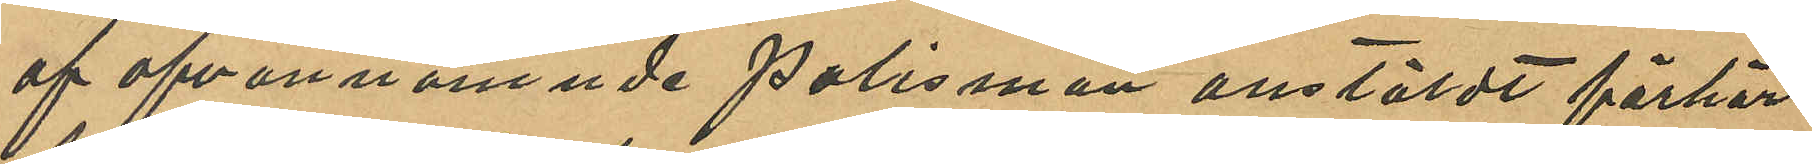af ofvannämnde polismän anstäldt förhör
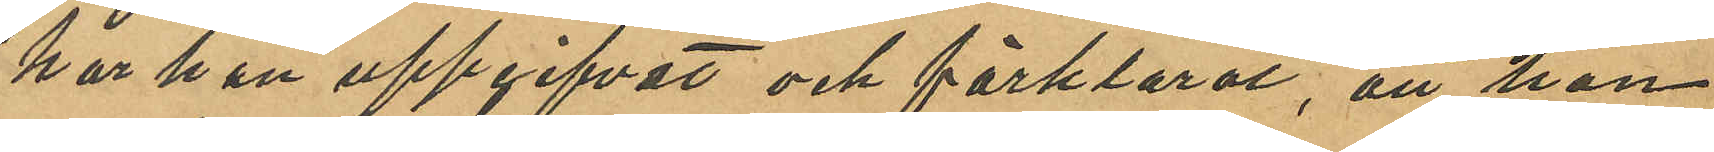har hon uppgifvat och förklarat, att hon
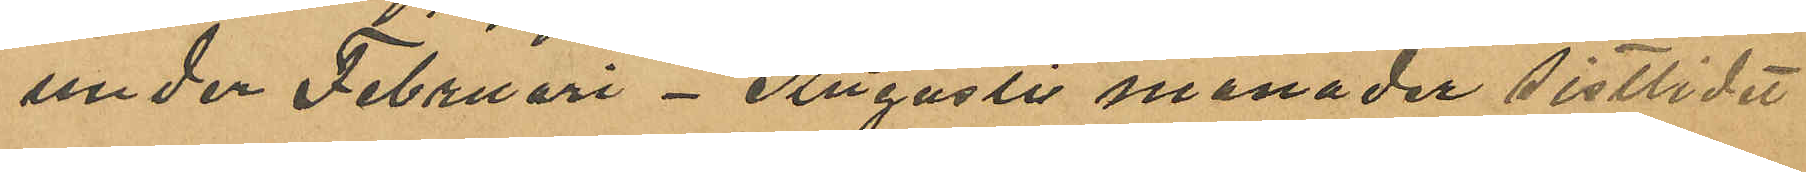under Februari - Augusti månader sistlidet
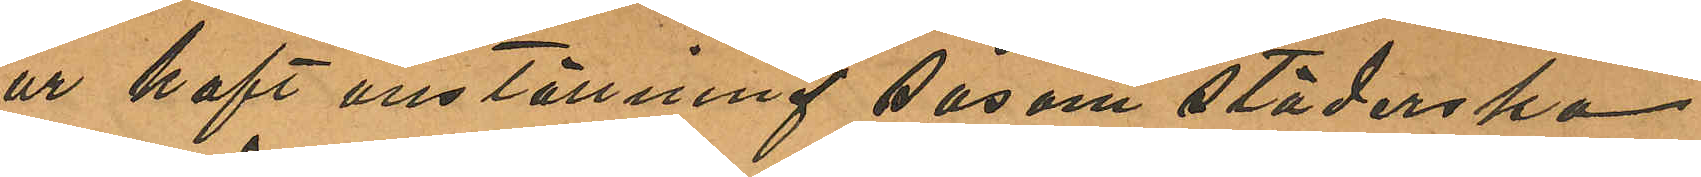år haft anställning såsom städerska
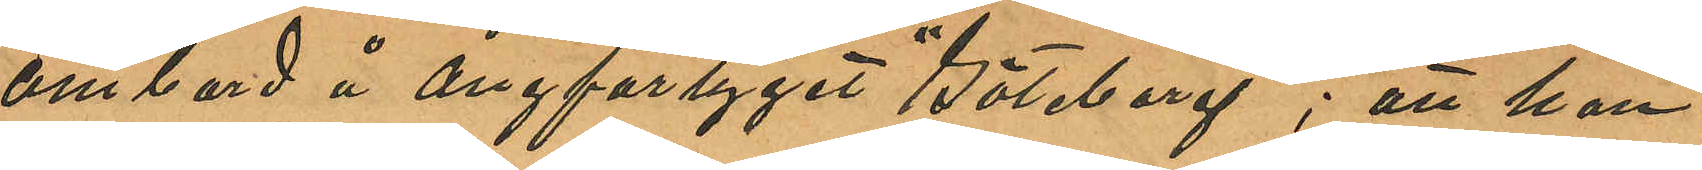ombord å ångfartyget "Göteborg"; att hon
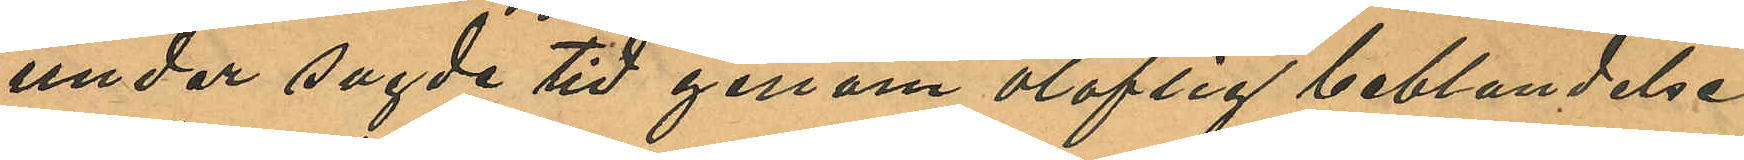under sagde tid genom oloflig beblandelse
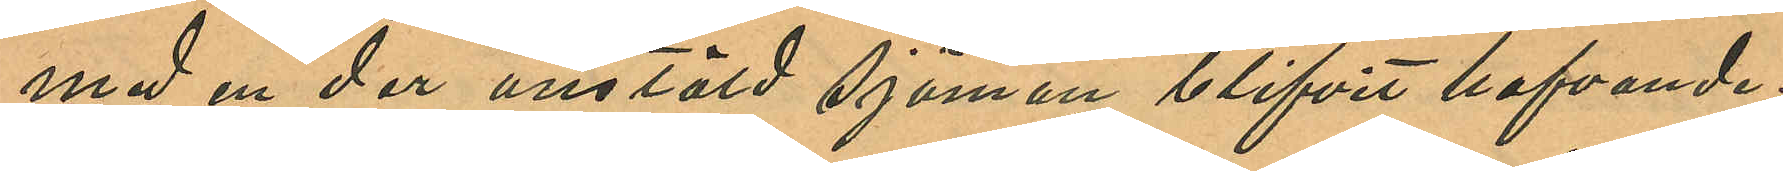med en der anstäld sjöman blifvit hafvande;
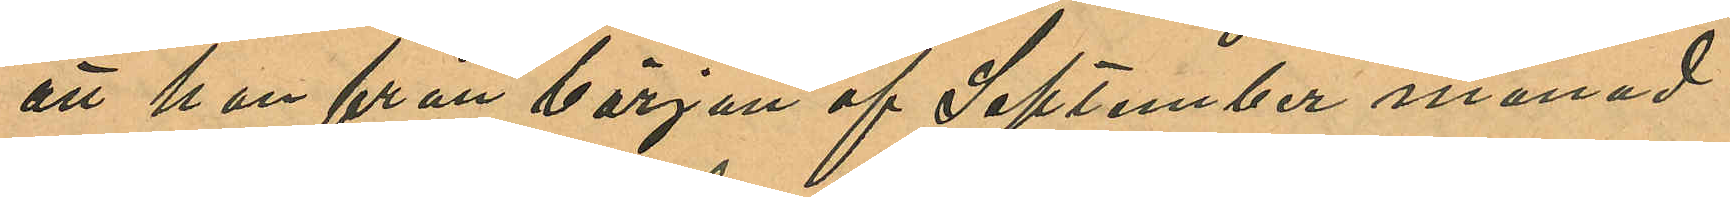att hon från början af September månad
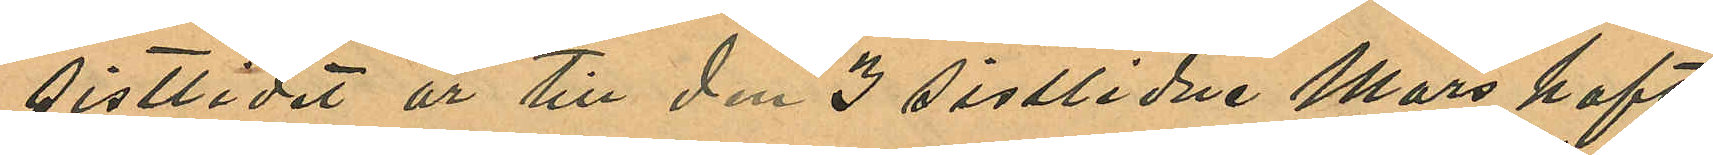sistlidet år till den 3 sistlidne Mars haft
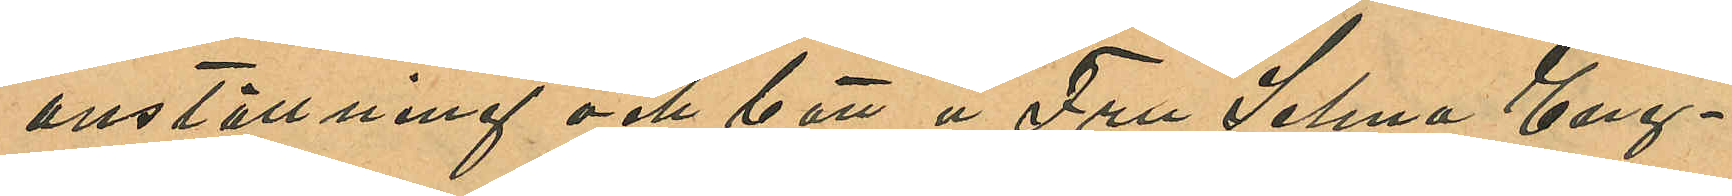anställning och bott å Fru Selma Eng¬
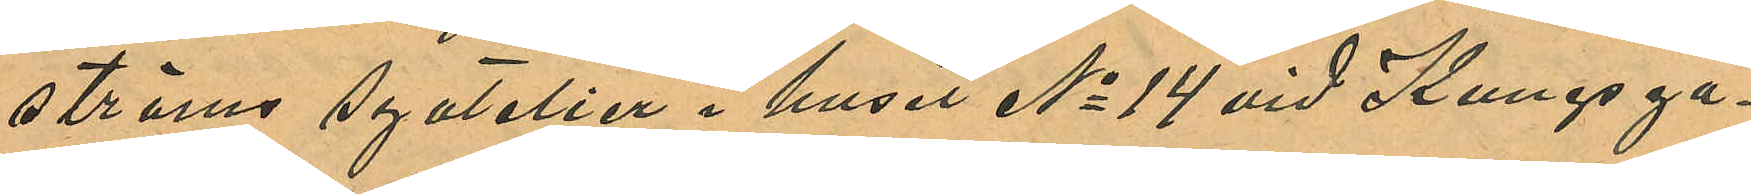ströms syatelier i huset No 14 vid Kungsga¬
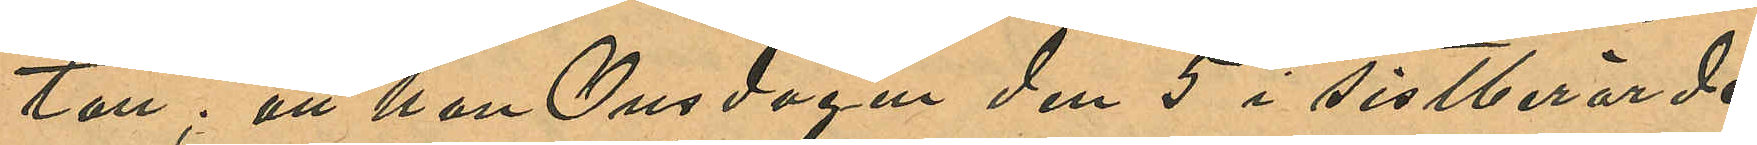tan; att hon Onsdagen den 5 i sistberörde
